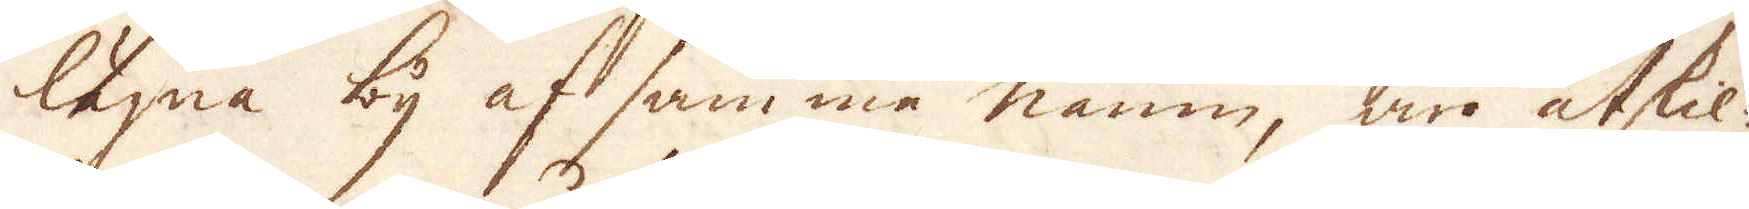lägna by af samma namn, är åtskil-
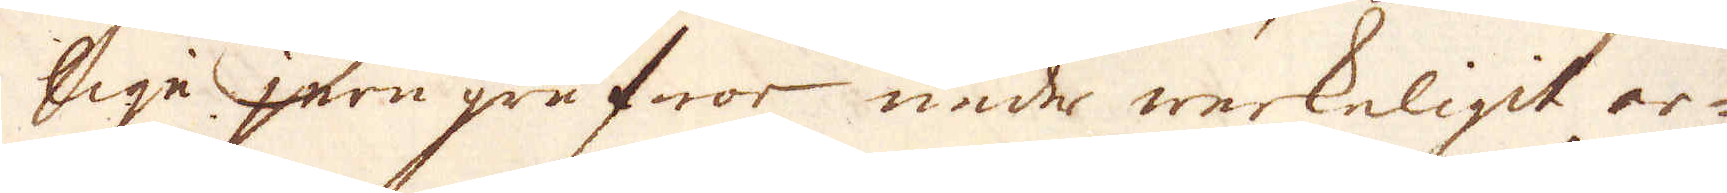lige jern grufwor under werkeligit ar-
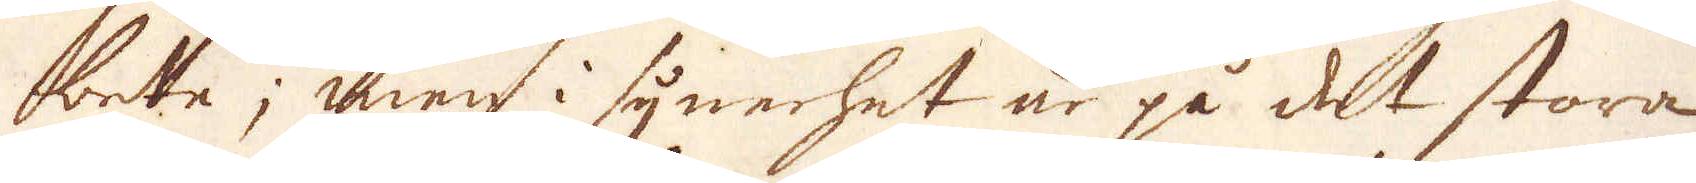bete; men i synerhet är på det stora
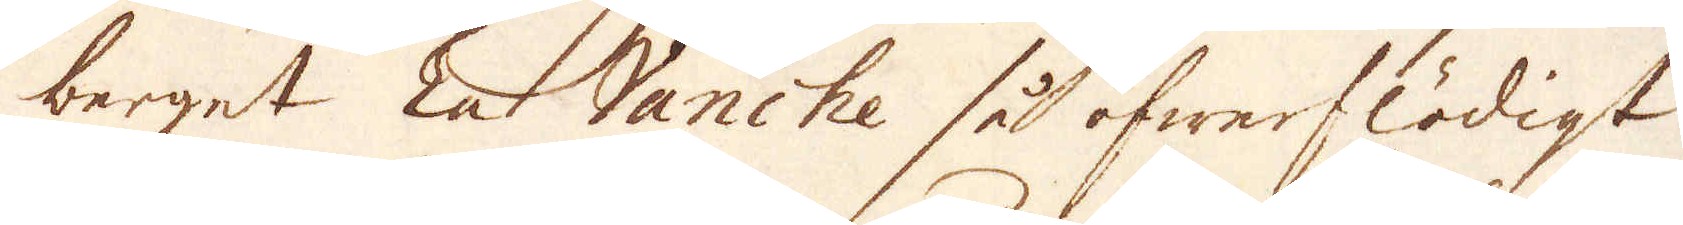berget En Vanshe så öfwerflödigt
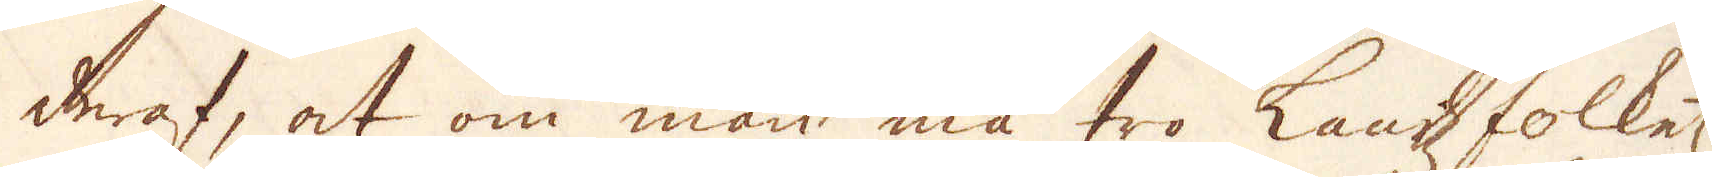deraf, at om man må tro Landz folkets
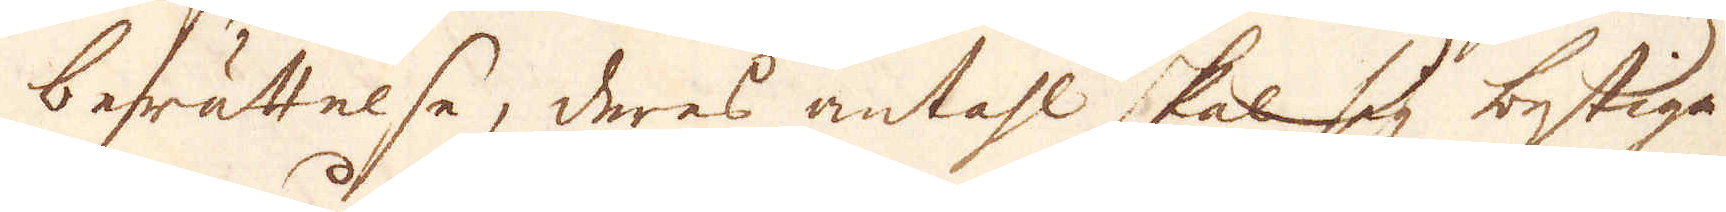berättelse, deres andahl skal sig bestiga
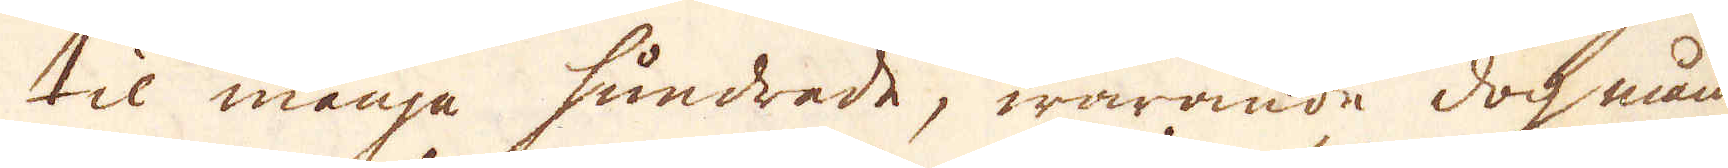til många hundrade, warande doch mån-
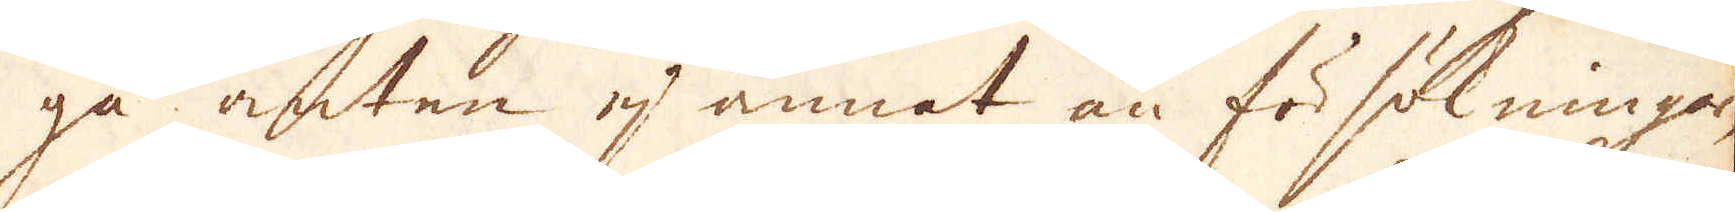ga arben ej annat än fösökningar
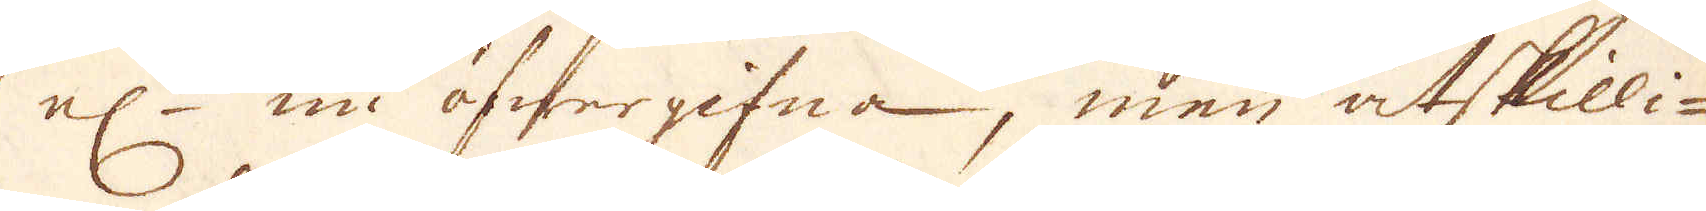el:r nu öfwergifna, men åtskilli-
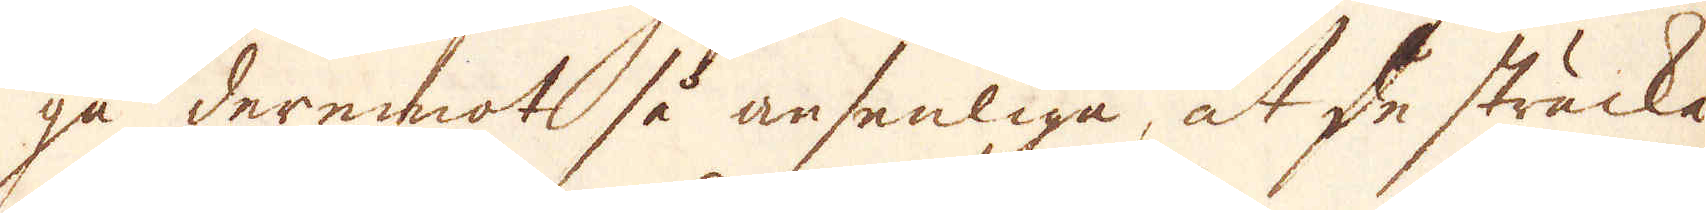ga deremot så ansenliga, at de sträcka
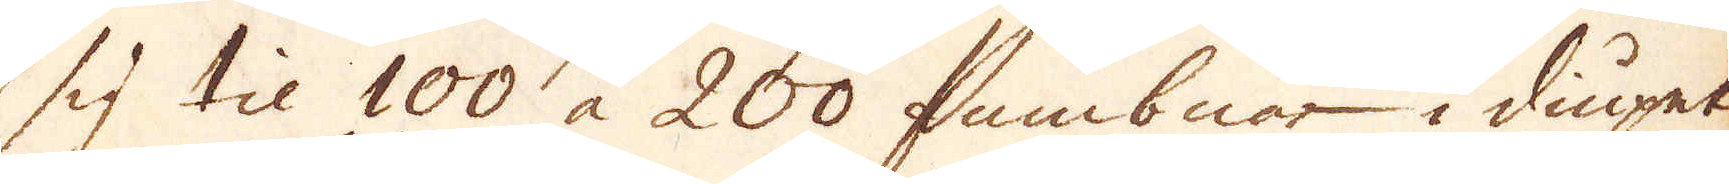sig til 100 a 200 fambnar i diupet
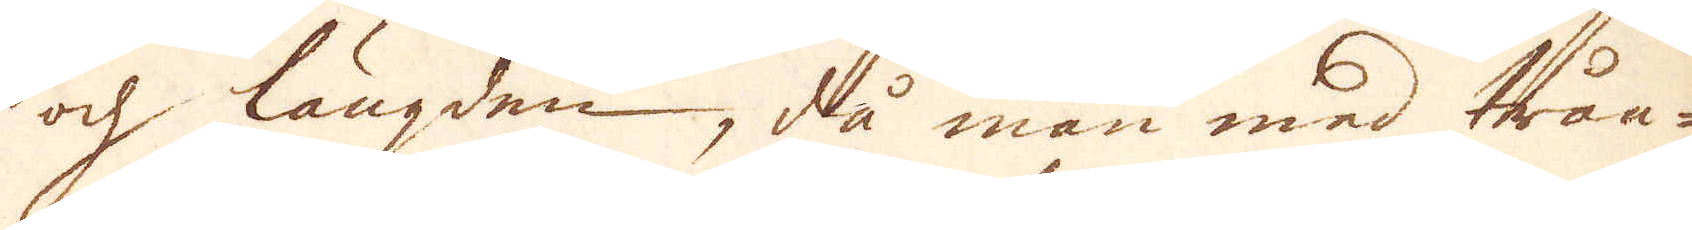och längden, då man med trån-
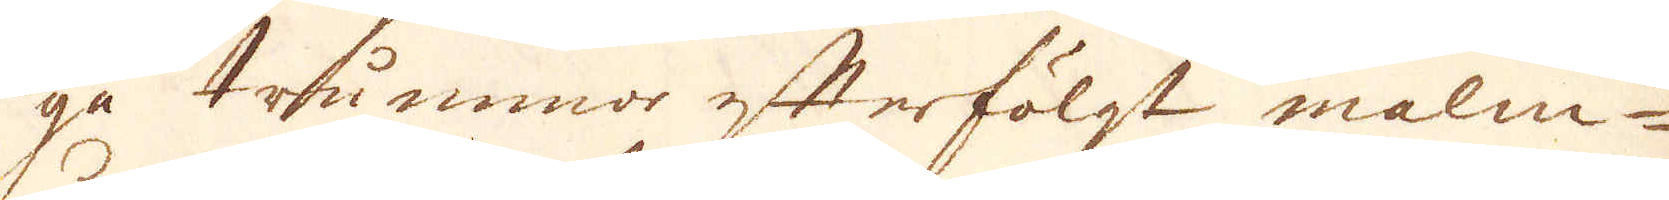ga trummor efterfölgt malm-
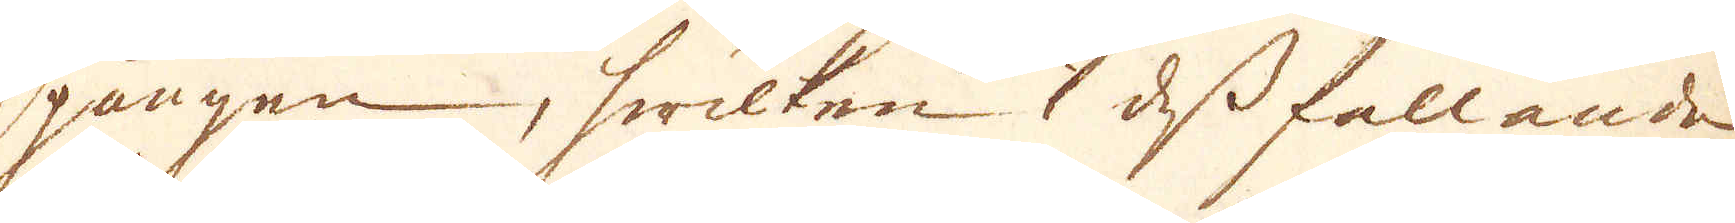gången, hwilken i dess fallande
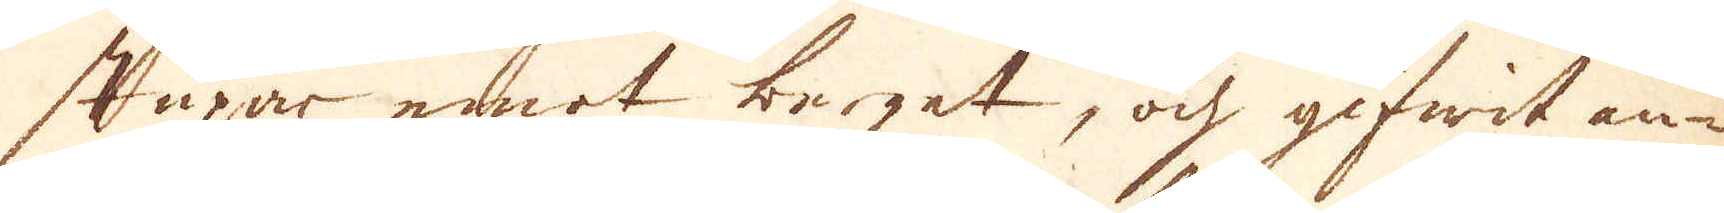stupar emnot berget, och gifwit an-
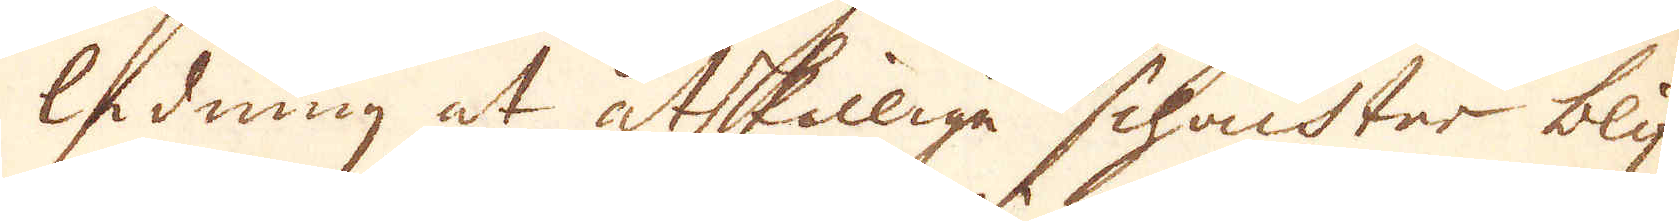ledning at åtskillige schachter blif-
